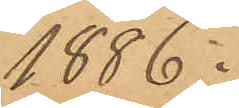1886.
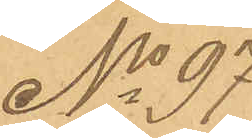No 97
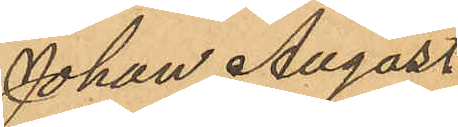Johan August
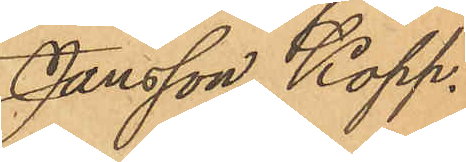Jansson Kopp.
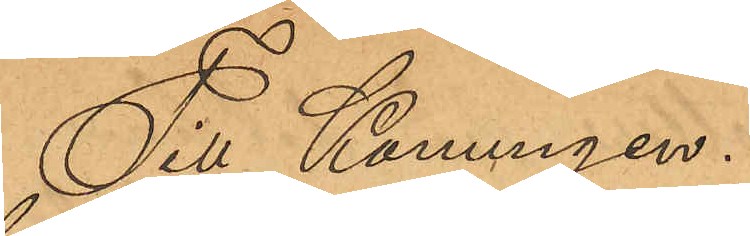Till Konungen.
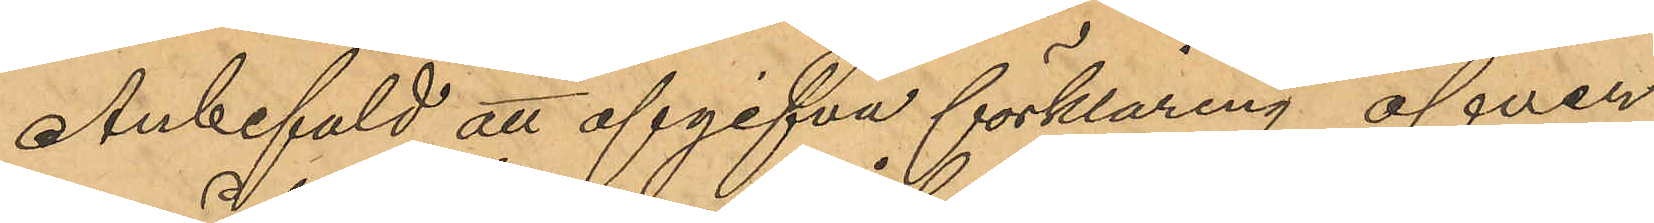Anbefald att afgifva förklaring öfver
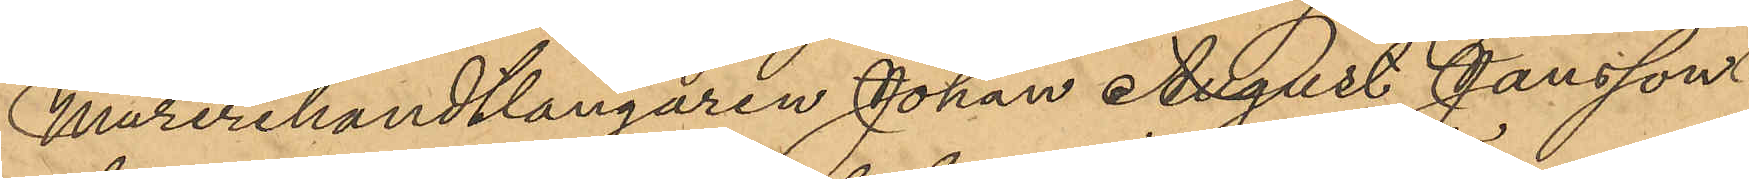Murerihandtlangaren Johan August Jansson
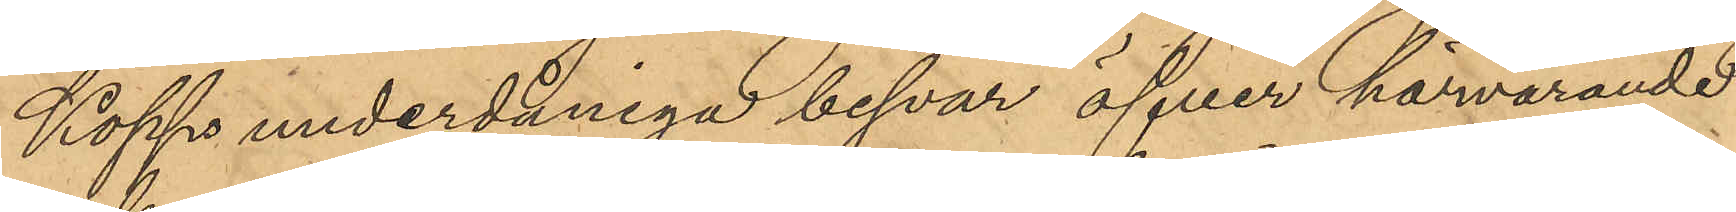Kopps underdåniga besvar öfver härvarande
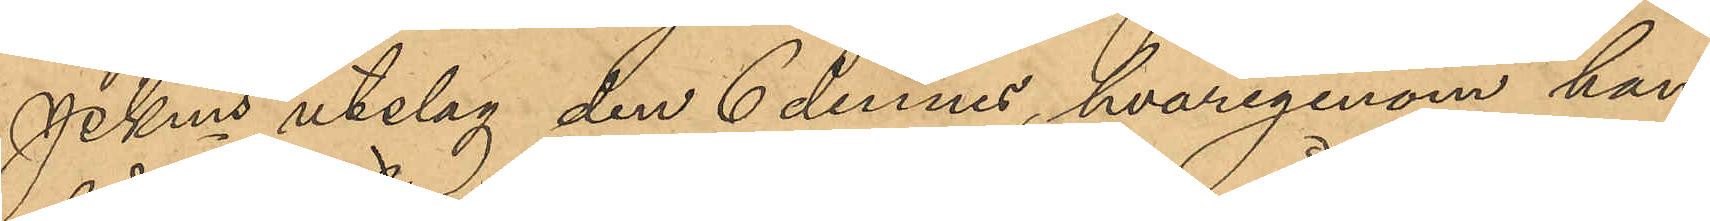PKms utslag den 6 dennes, hvarigenom han
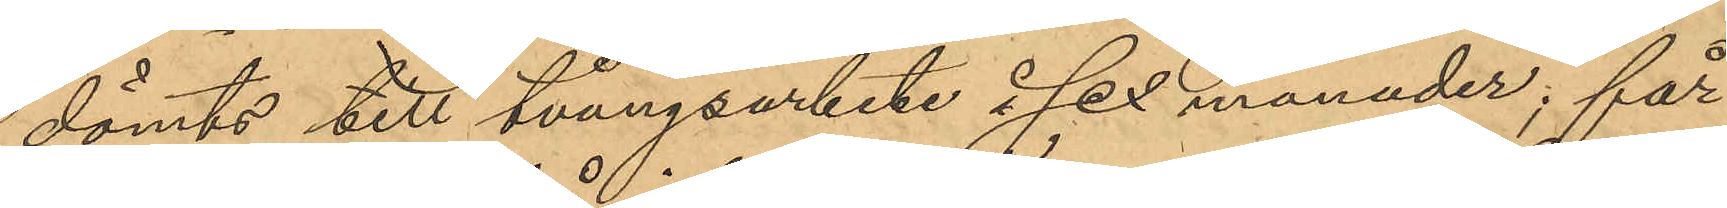dömts till tvångsarbete i sex månader; får
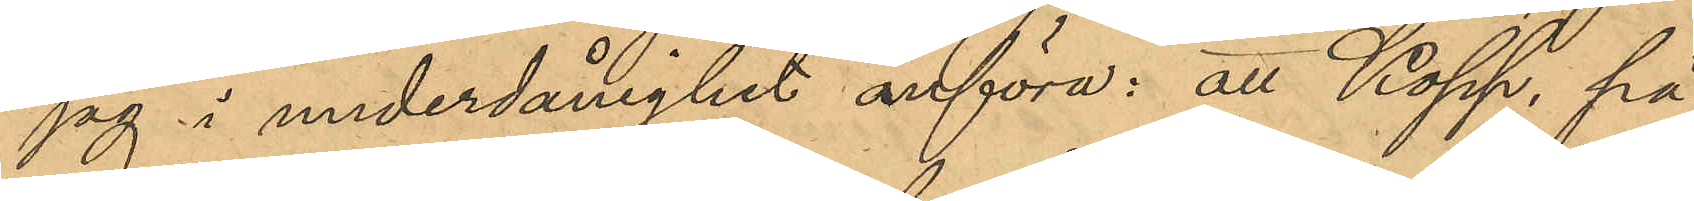jag i underdånighet anföra: att Kopp, på
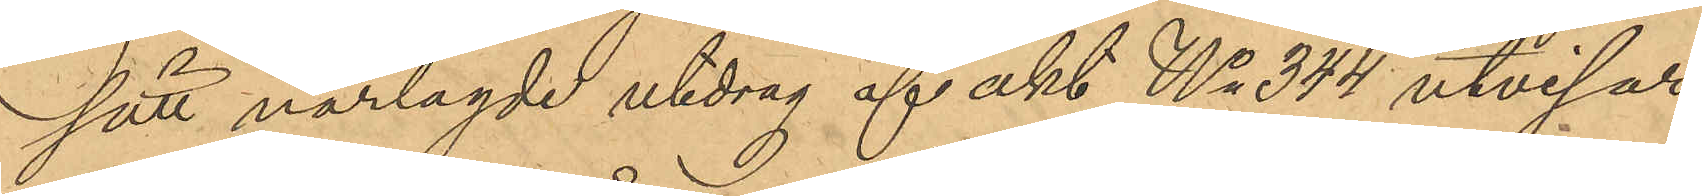sätt närlagde utdrag af akt No 344 utvisar,
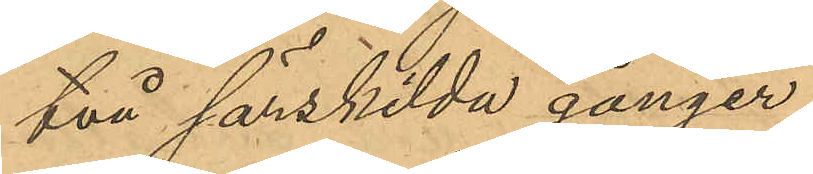två särskilda gånger
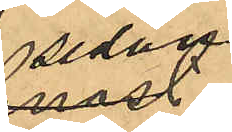sedan
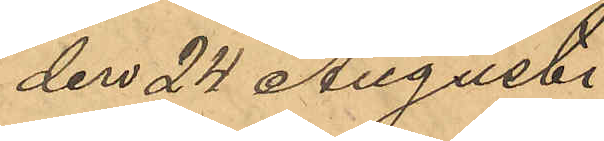den 24 Augusti
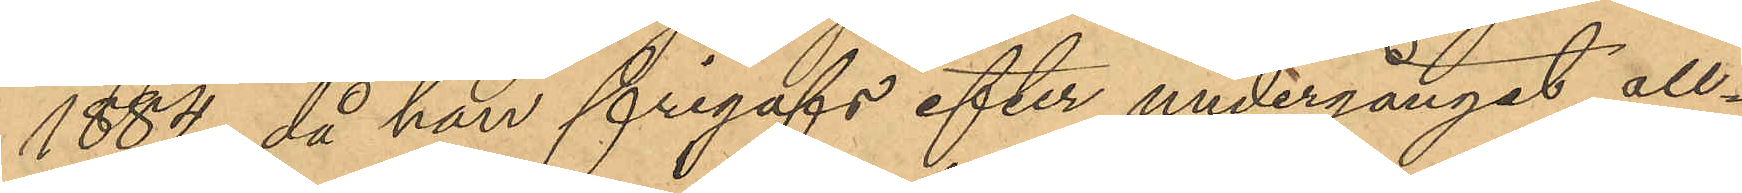1884, då han frigafs efter undergånget all¬
